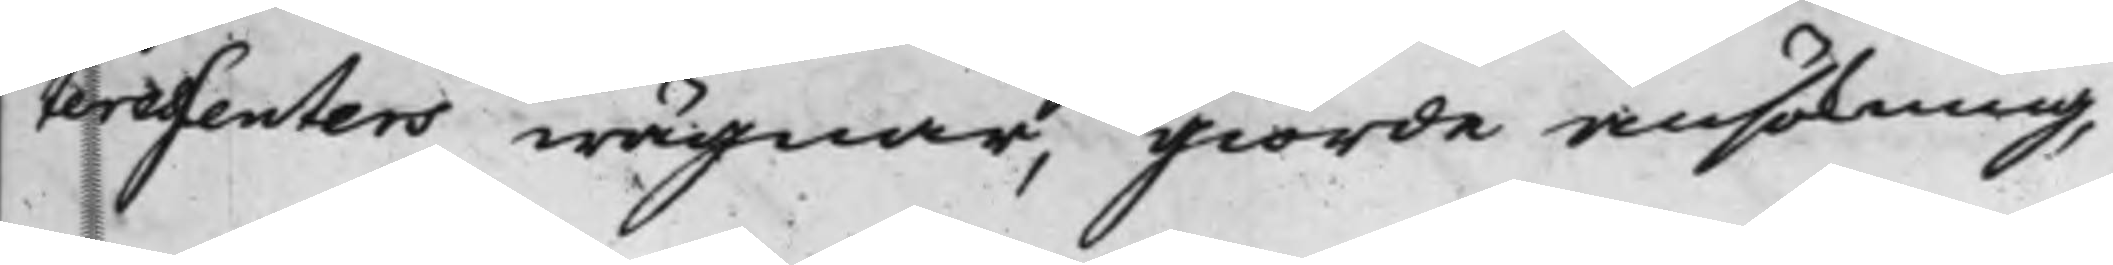teressenters wägnar, giorde ansökning,
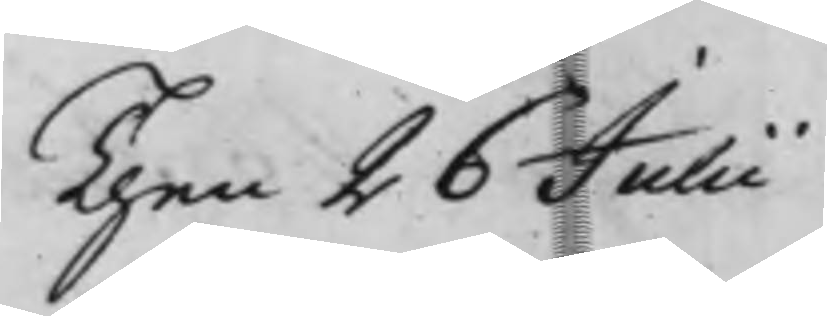Then 26 Julii
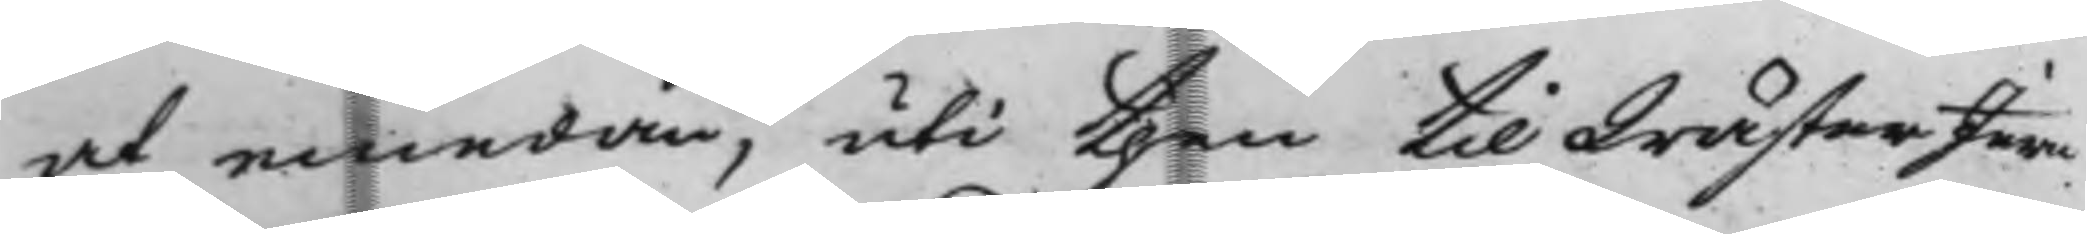at emedan, uti then till WästerJern¬
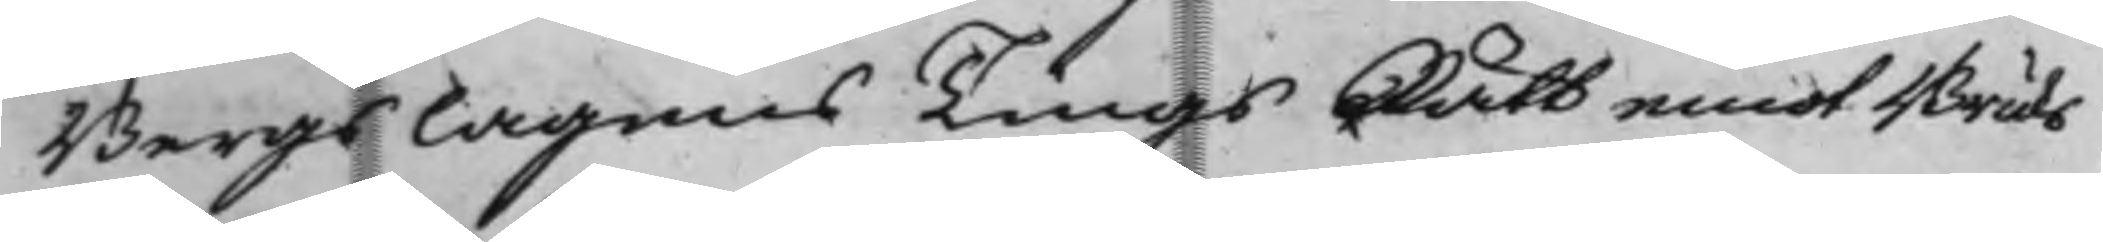Bergslagens TingsRätt emot Bruks¬
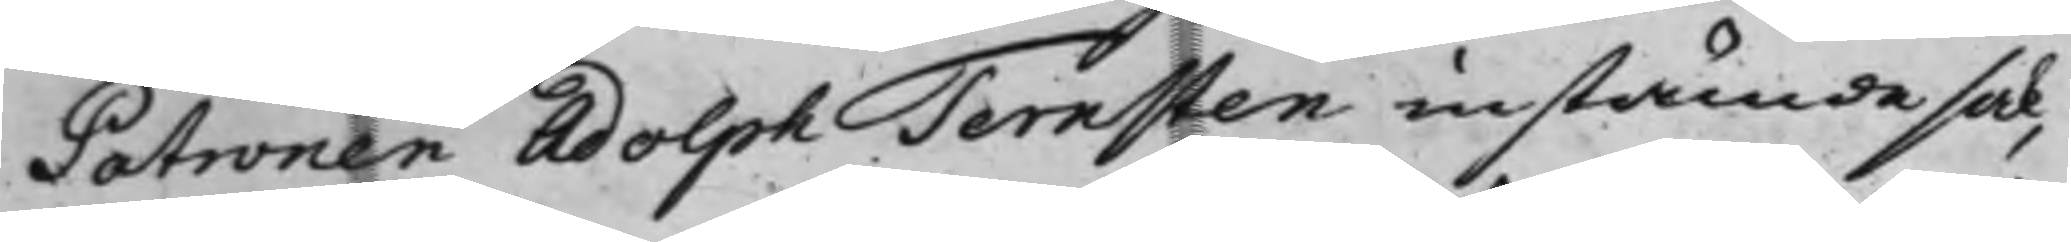Patronen Adolph Ternsten instämde sak,
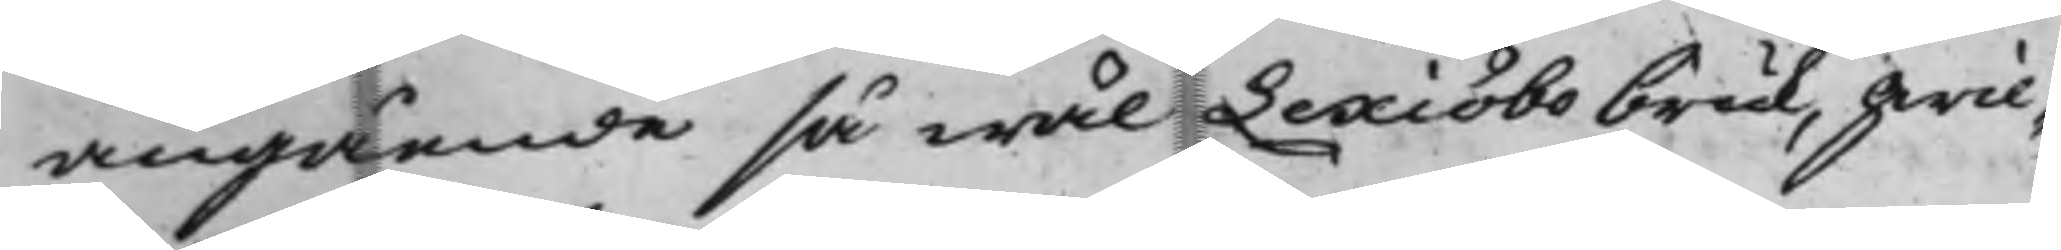angående så wäl Lexiöbo bruk, hwil¬
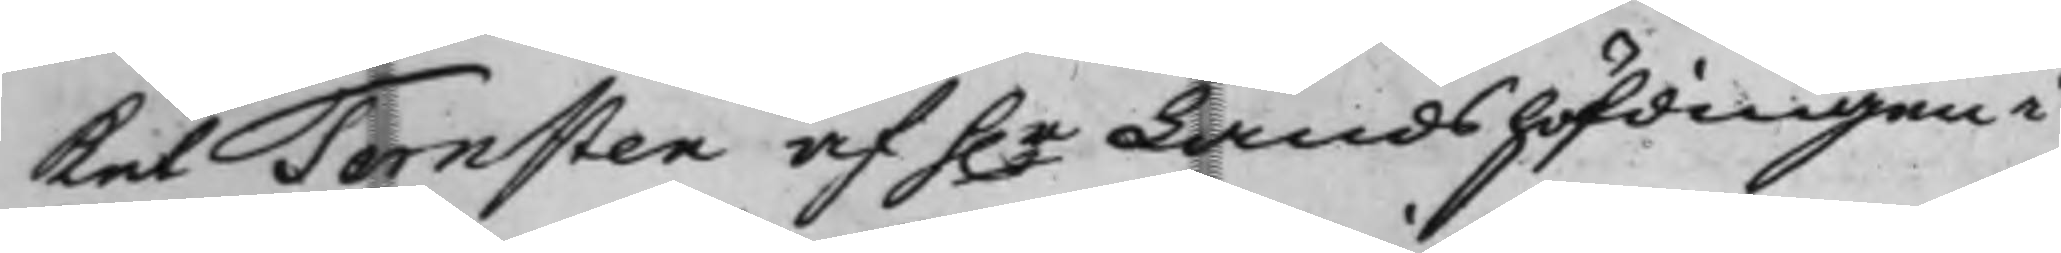Ket Ternsten af h.r Landshöfdingen i
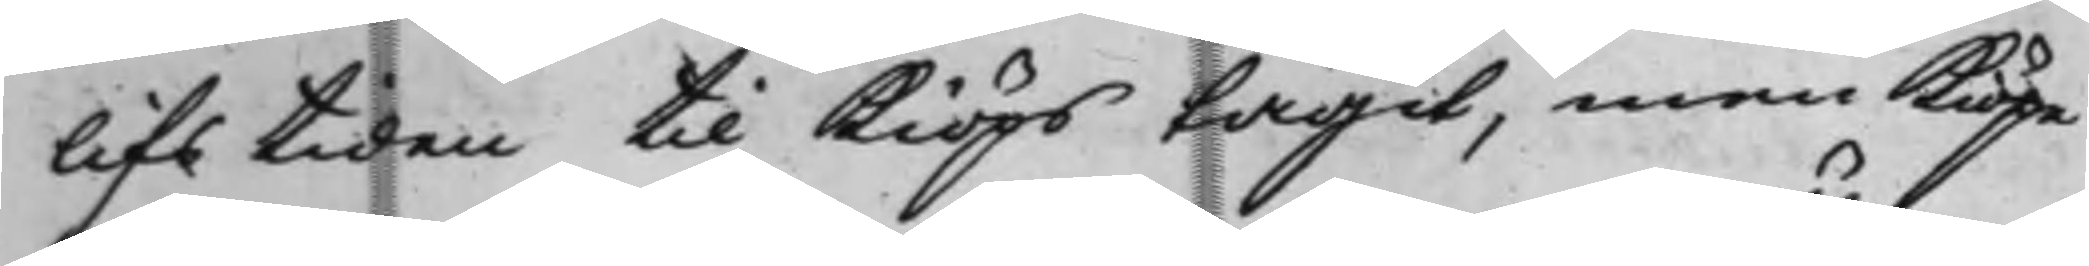lifstiden till Kiöps tagit, men Kiöpe¬
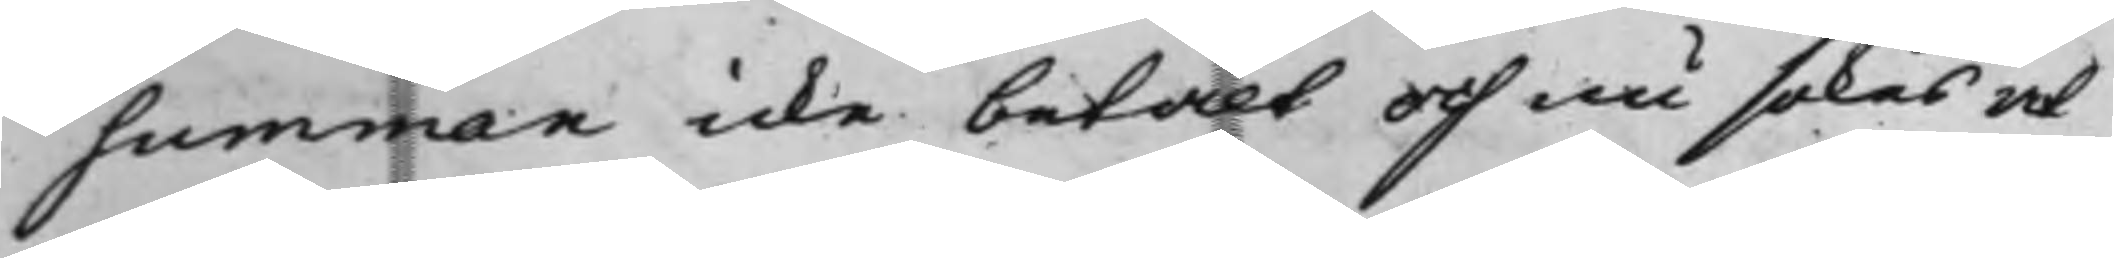summan icke betalt och nu sökes at
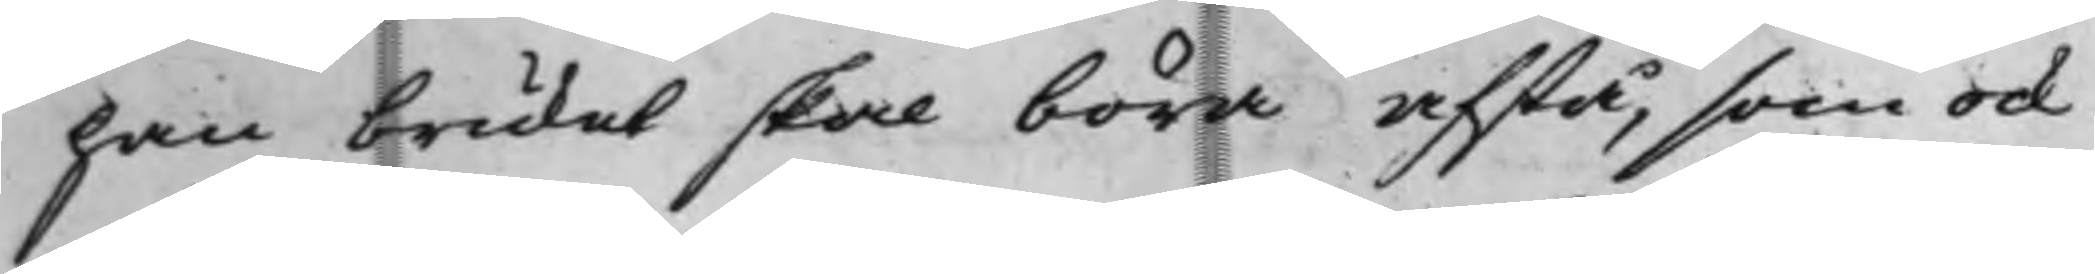han bruket skal böra afstå, som ock
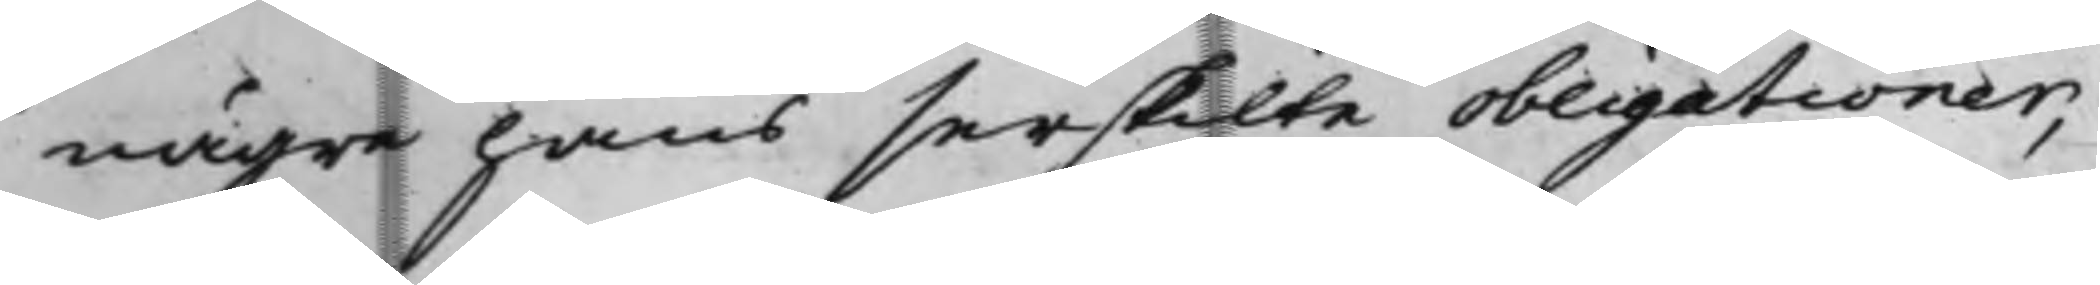någre hans serskilte obligationer,
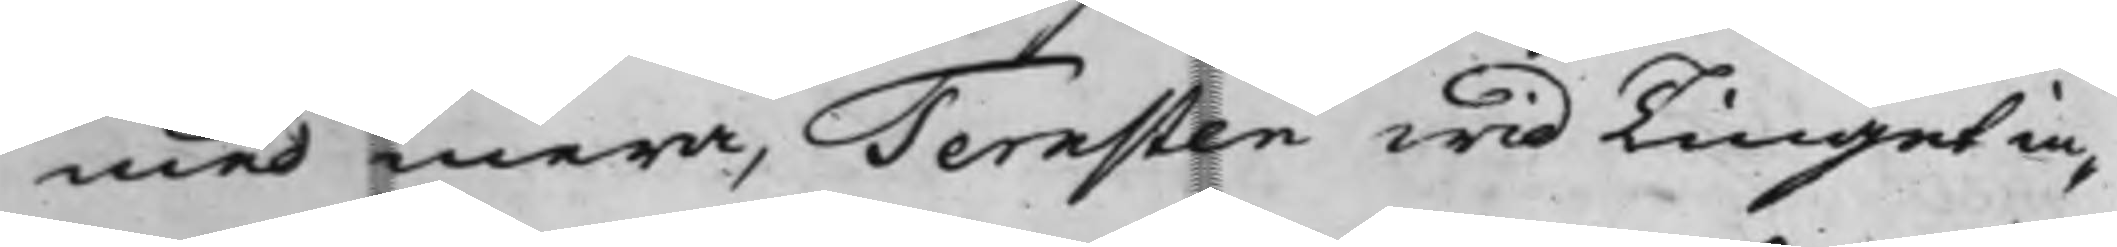med mera, Ternsten wid Tinget in¬
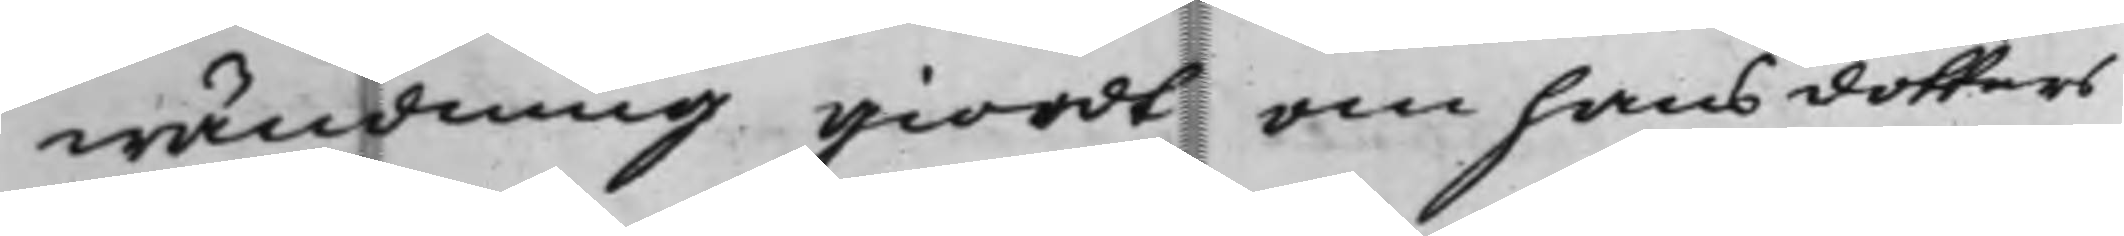wändning giordt om hans dotters
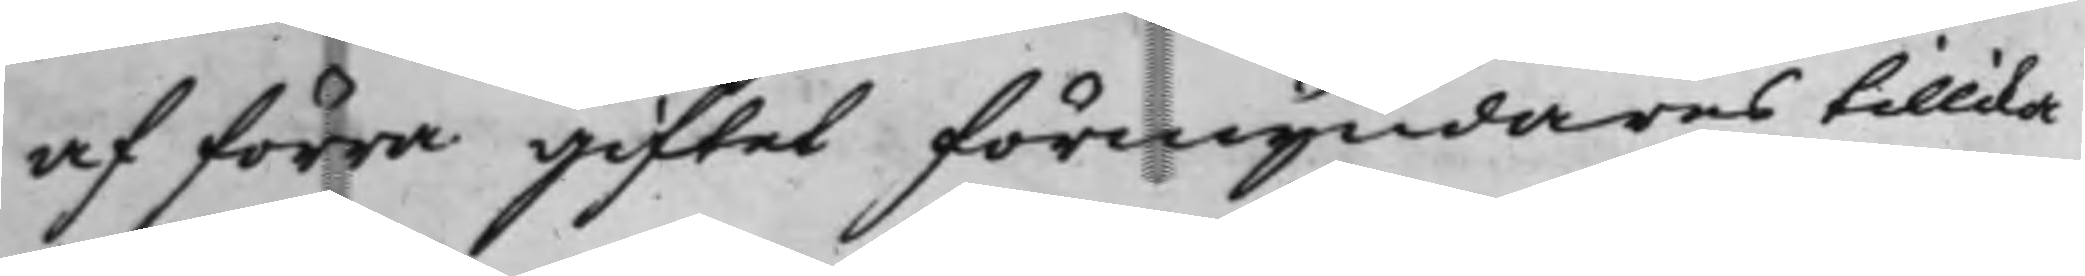af förra giftet förmyndares tillika
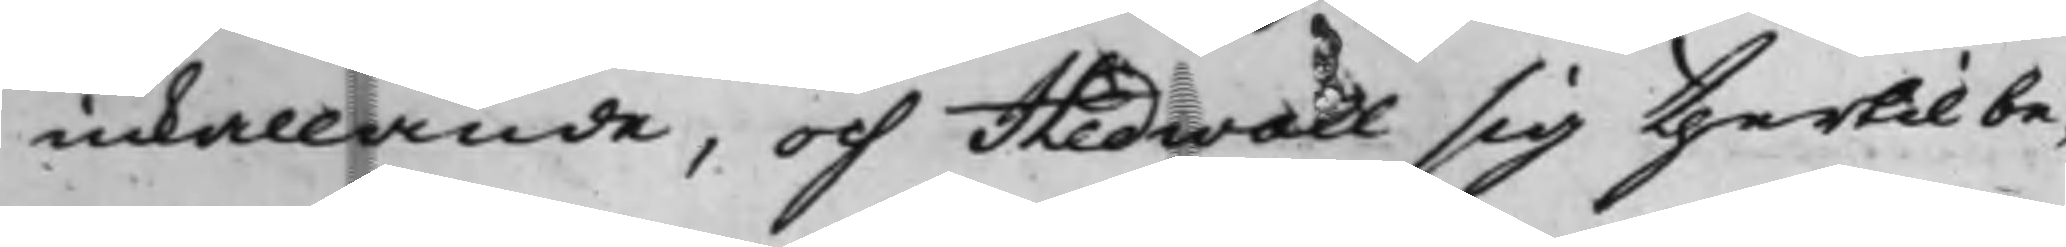inkallande, och Hedwall sig thertill be¬
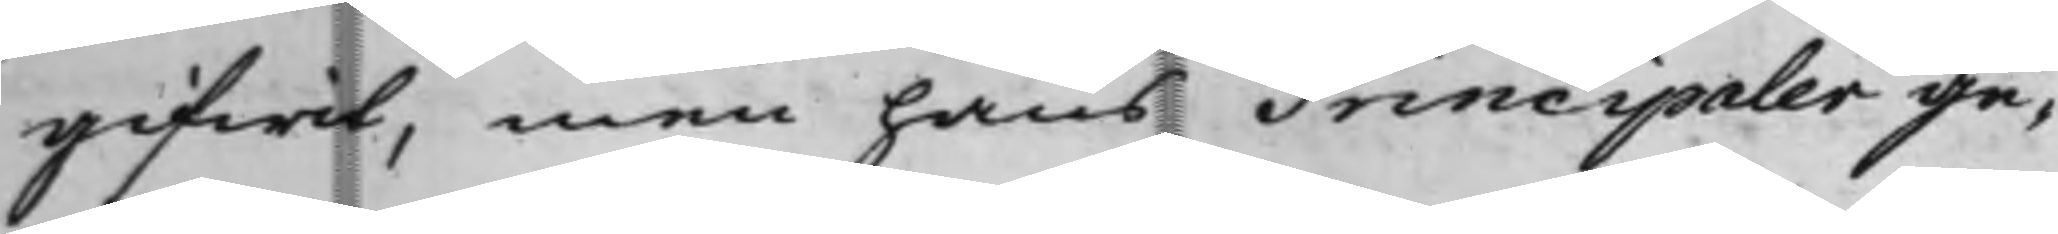gifwit, men hans Principaler ge¬
